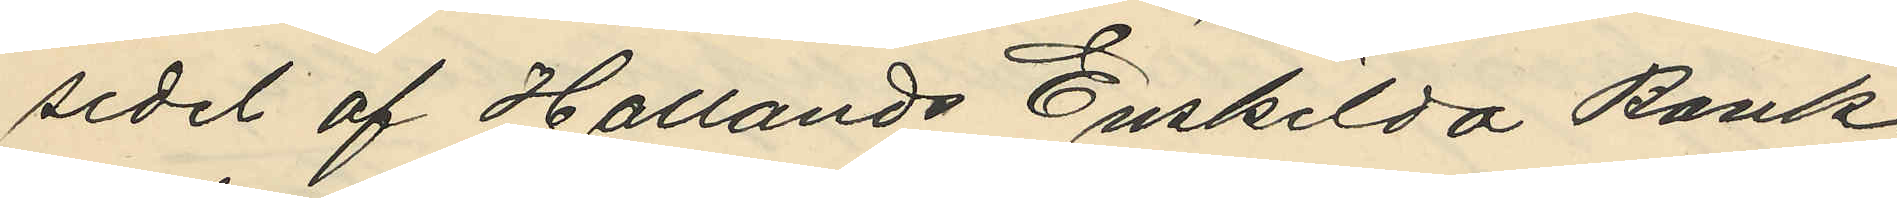sedel af Hallands Enskilda Bank
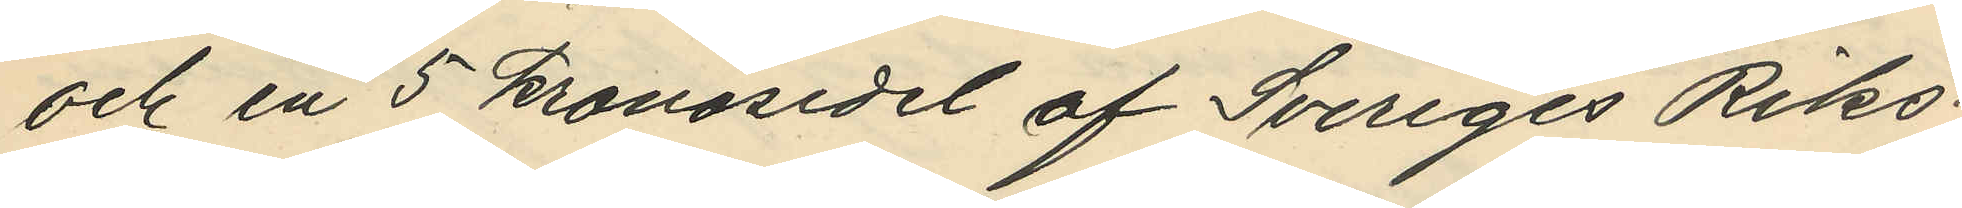och en 5 kronosedel af Sveriges Riks¬
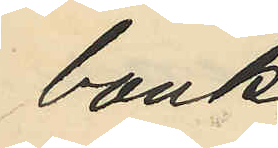bank.
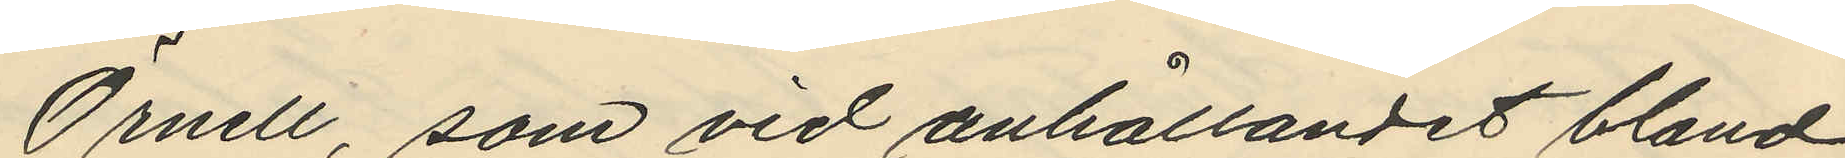Örnell, som vid anhållandet bland
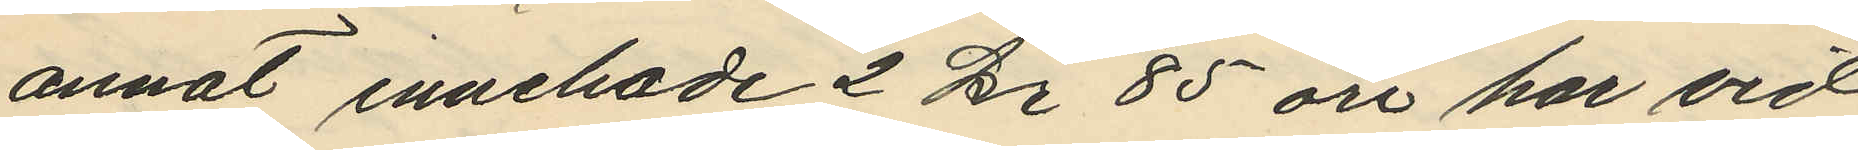annat innehade 2 kr 85 öre har vid
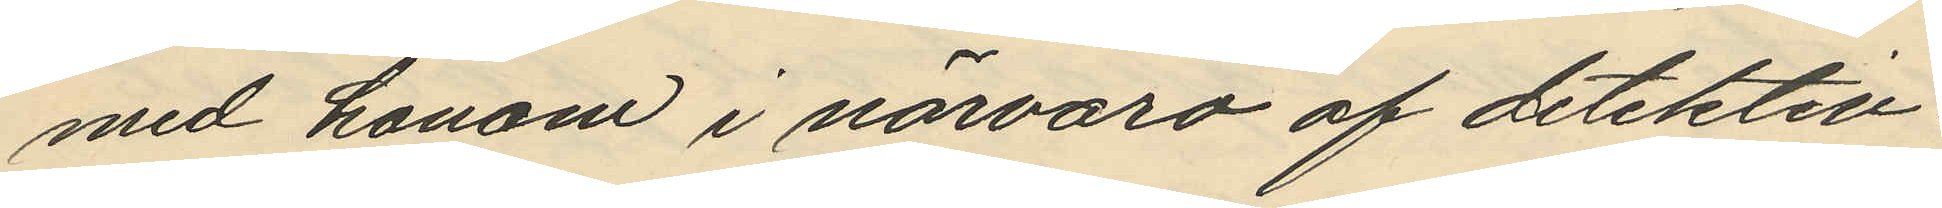med honom i närvaro af detektiv¬
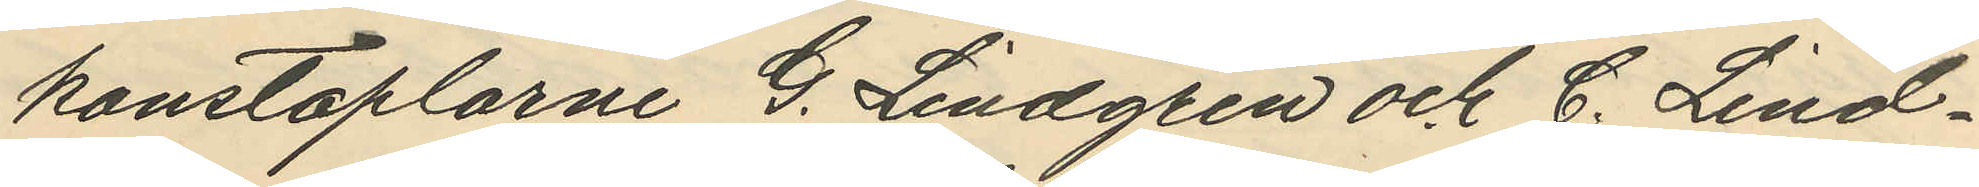konstaplarne G. Lindgren och C. Lind¬
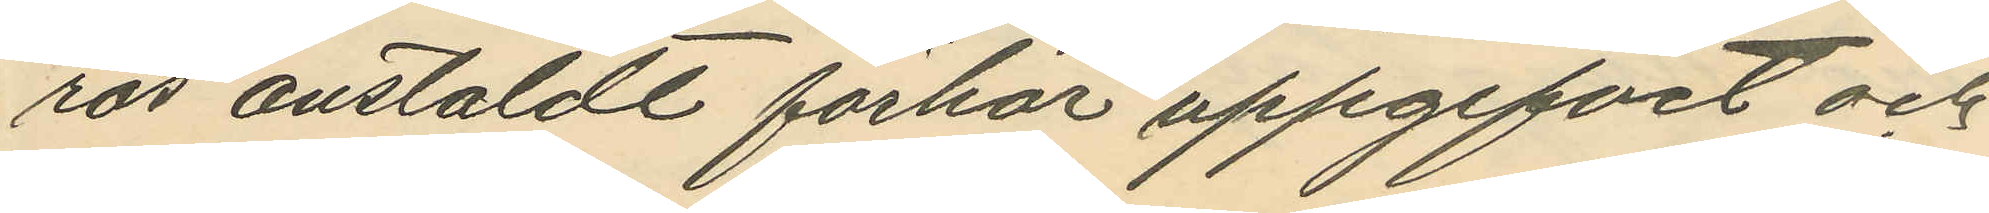ros anstäldt förhör uppgifvit och
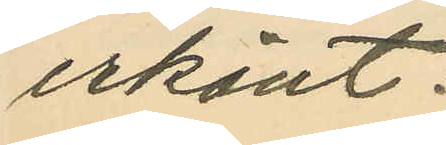erkänt:
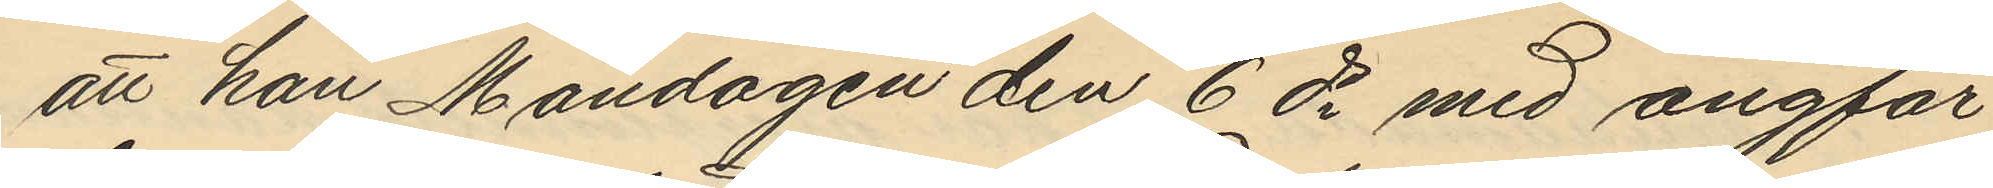att han Måndagen den 6 ds med ångfar¬
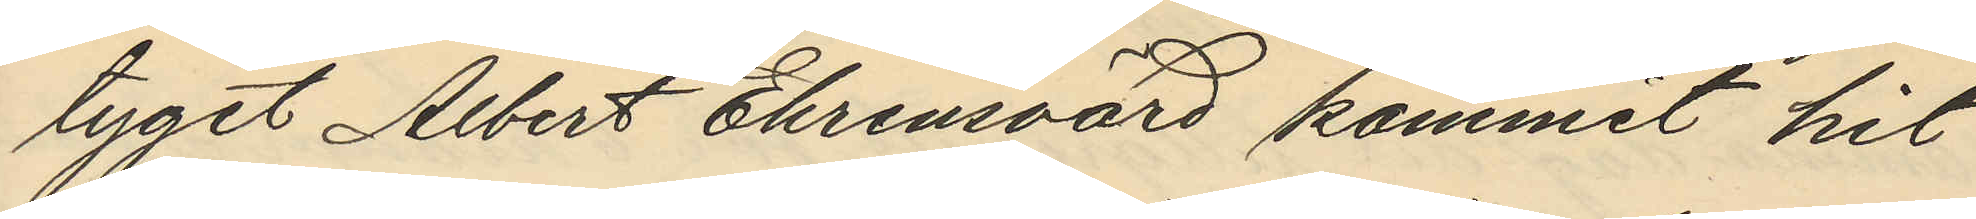tyget Albert Ehrensvärd kommit hit
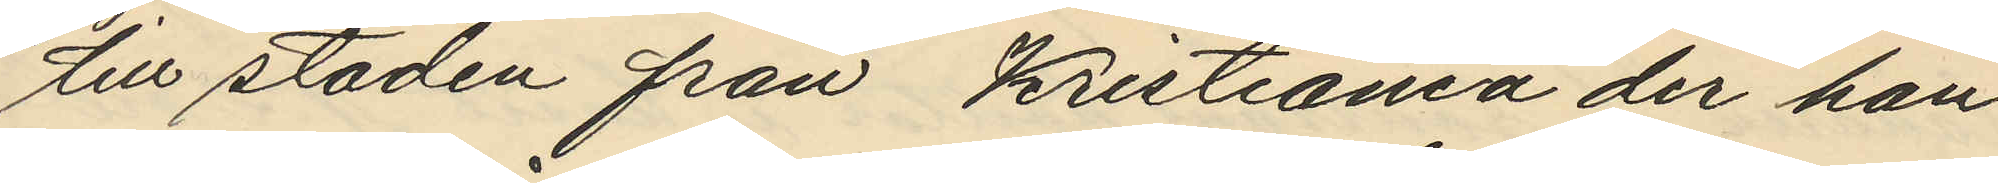till staden från Kristiania der han
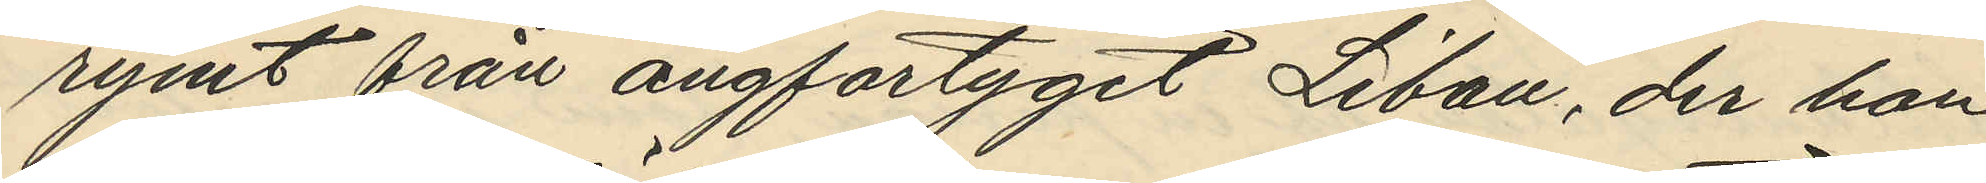rymt från ångfartyget Libou, der han
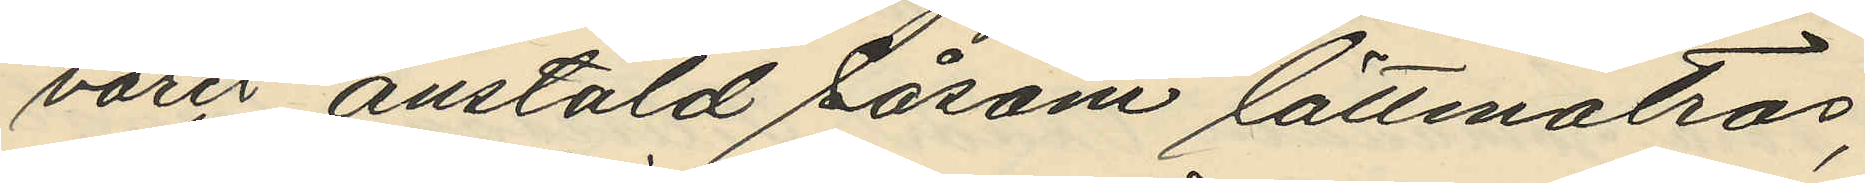varit anstäld såsom lättmatros;
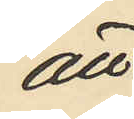att
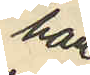han
